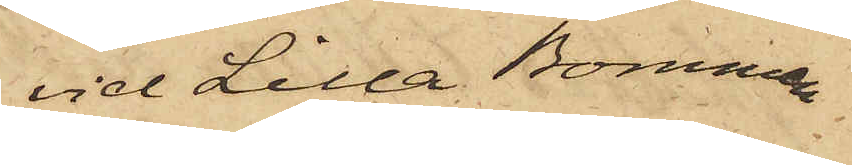vid Lilla Bommen
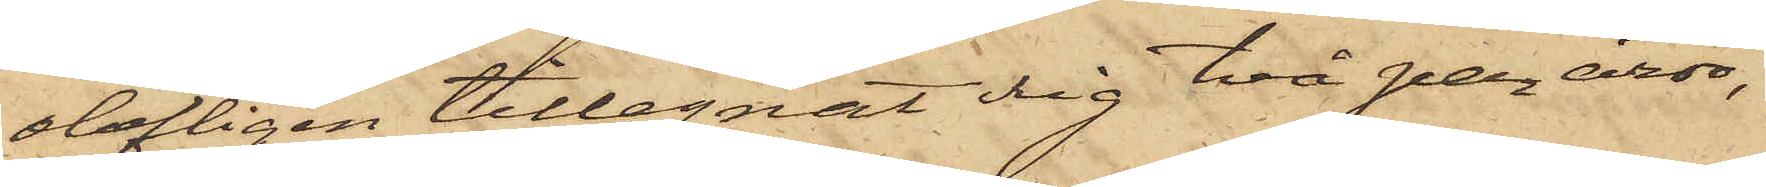olofligen tillegnat sig två par åror,
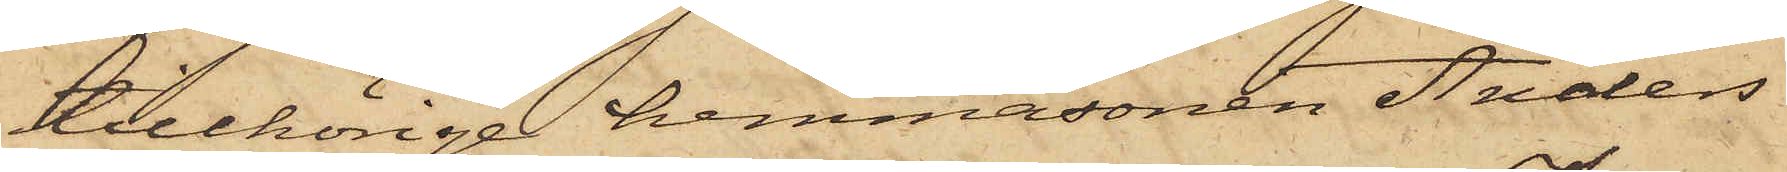tillhörige hemmasonen Anders
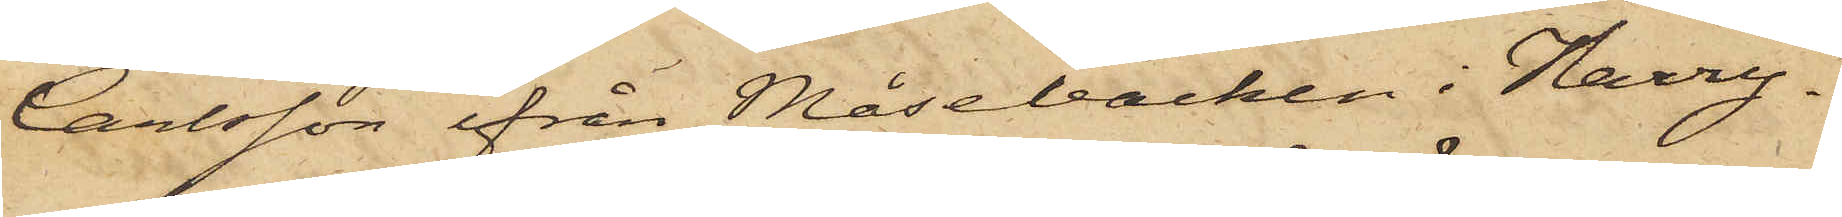Carlsson ifrån Måsebacken i Harry¬
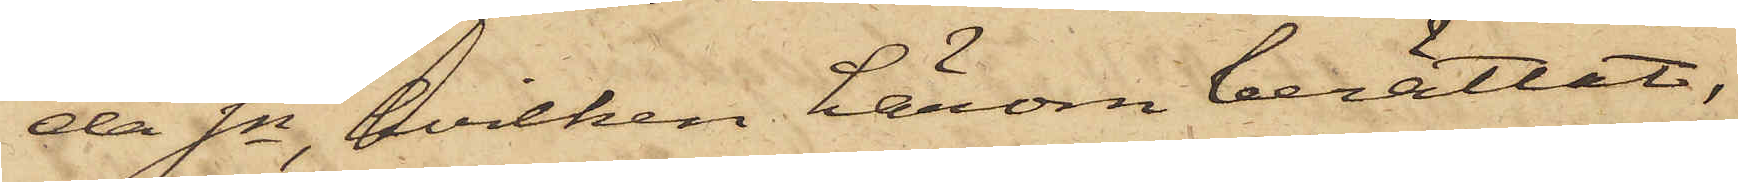da Sn, hvilken härom berättat,
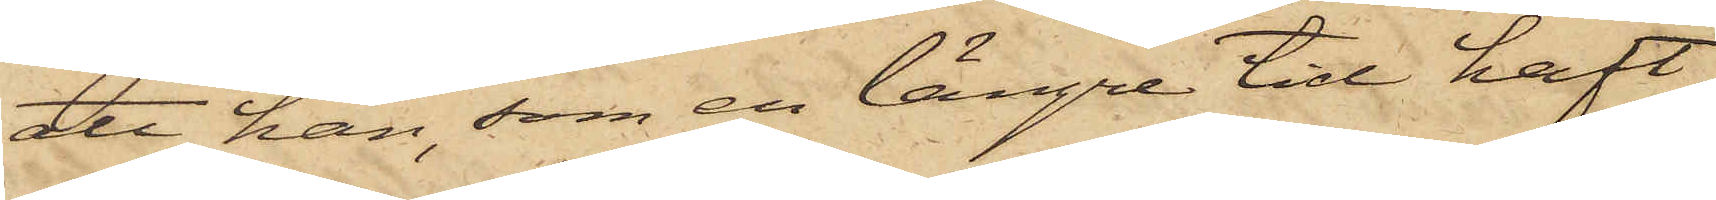att han, som en längre tid haft
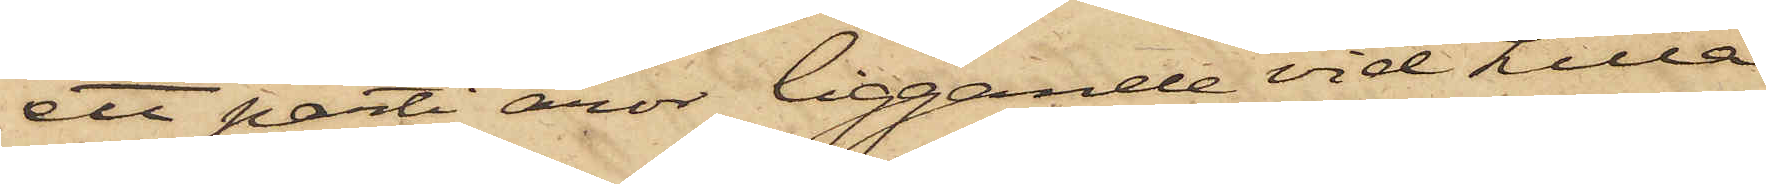ett parti åror liggande vid Lilla
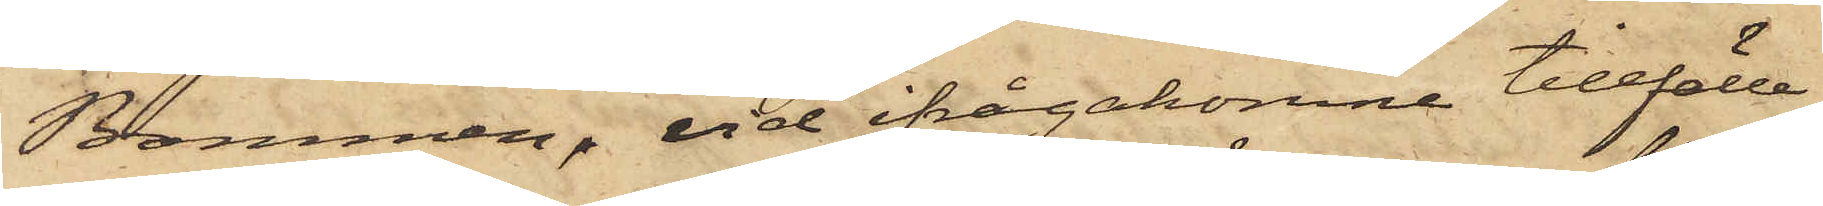Bommen, vid ifrågakomne tillfälle
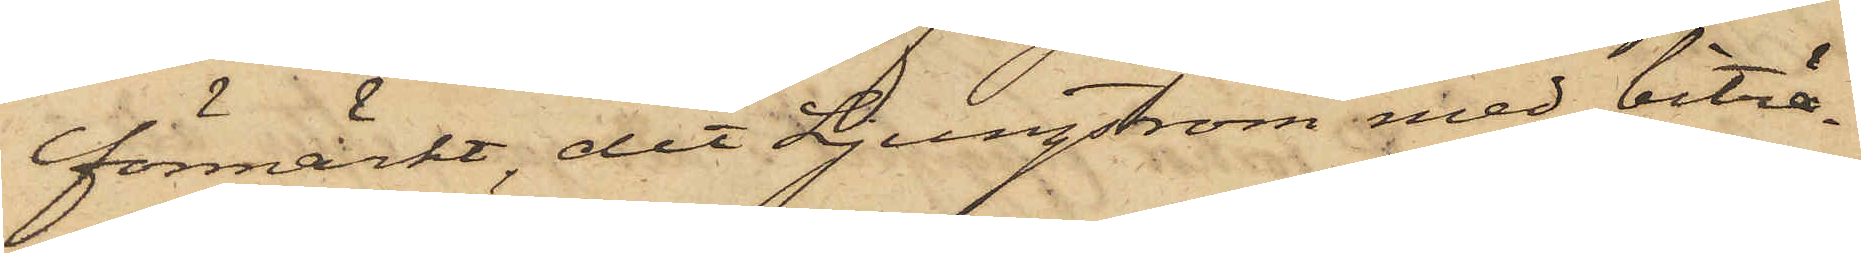förmärkt, det Ljungström med biträ¬
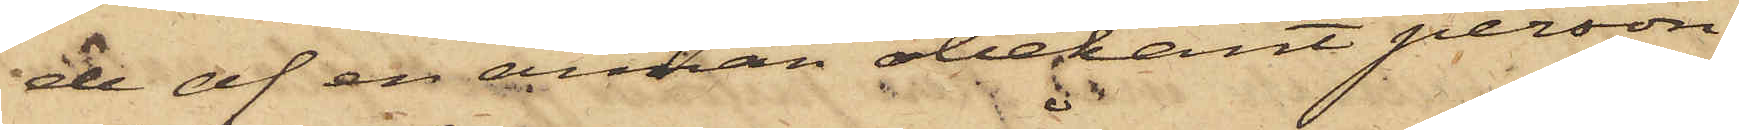de af en annan obekant person
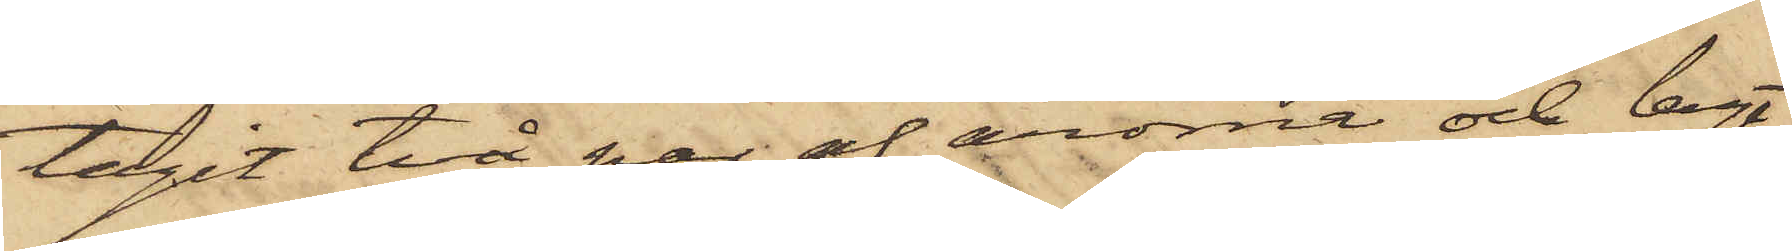tagit två par af årorna och lagt
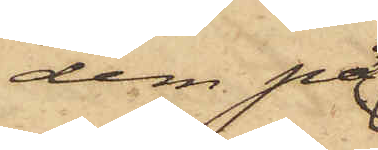dem på
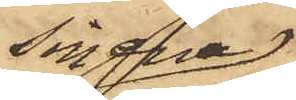sin ena
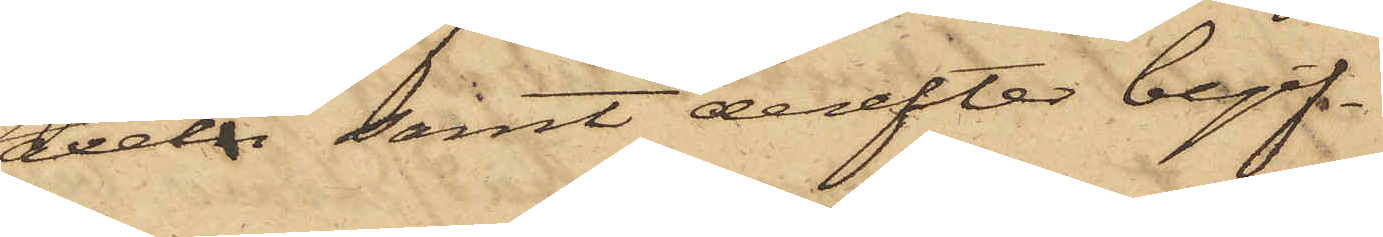axel samt derefter begif¬
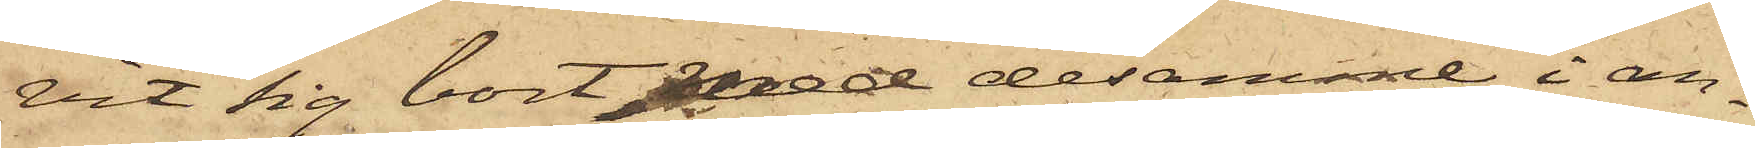vit sig bort med desamme, i an¬
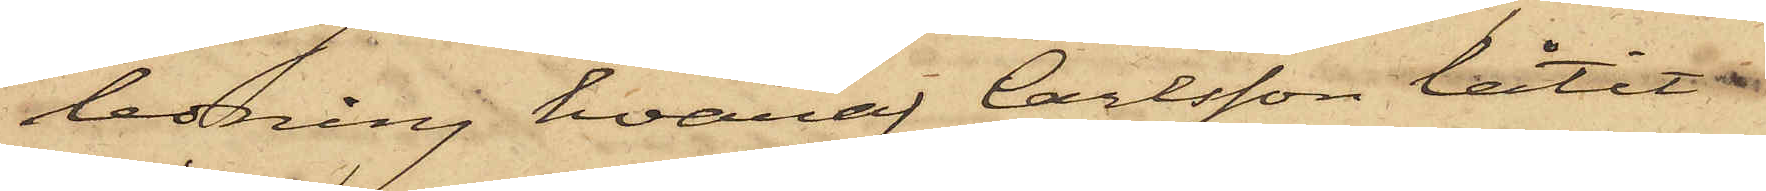ledning hvaraf Carlsson låtit
